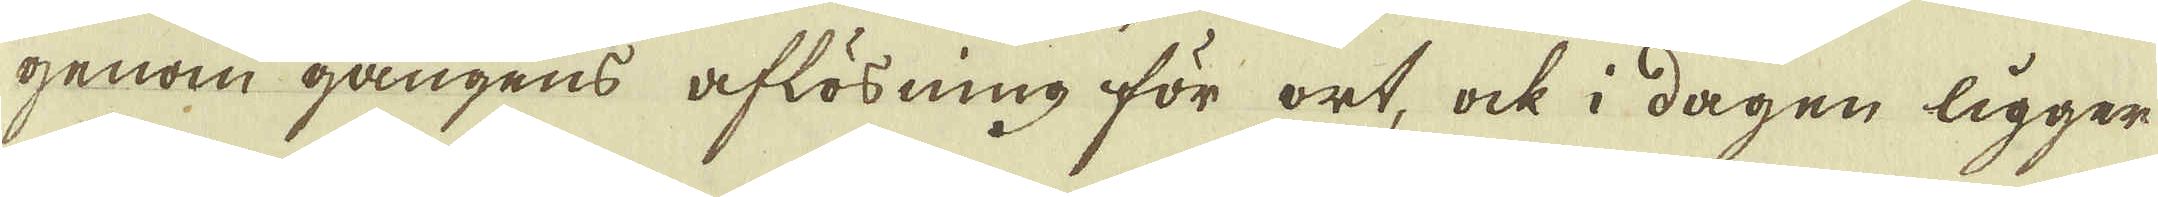genom gångens aflösning för ort, ock i dagen ligger
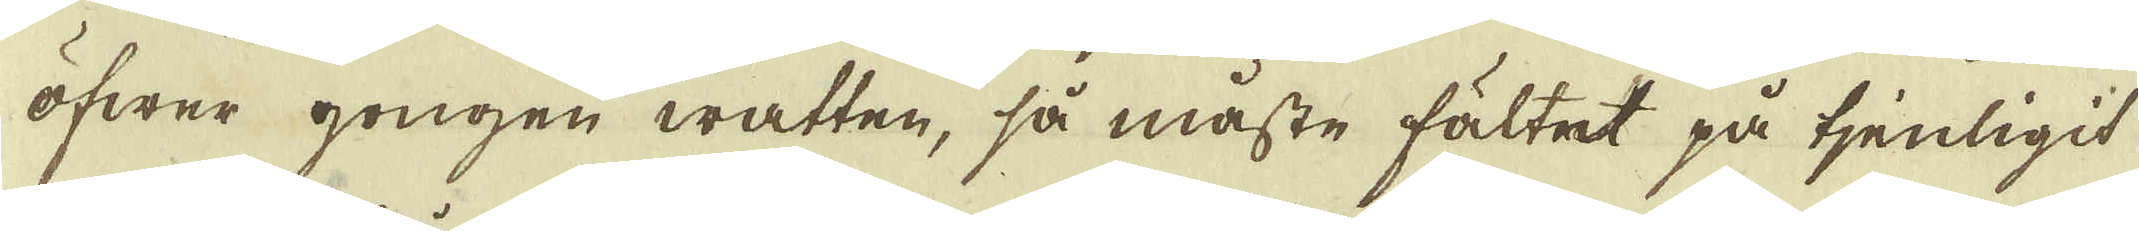öfwer gongen watten, så måste fältet på tjenligit
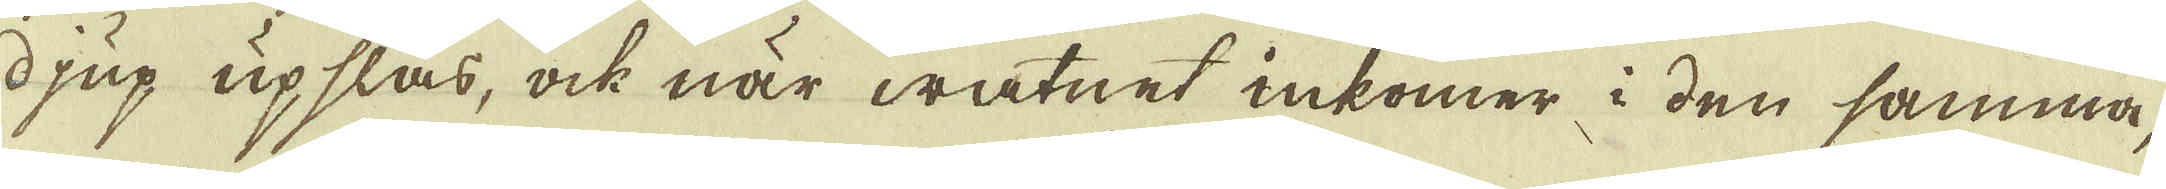djup upslås, ock när watnet inkomer i den samma,
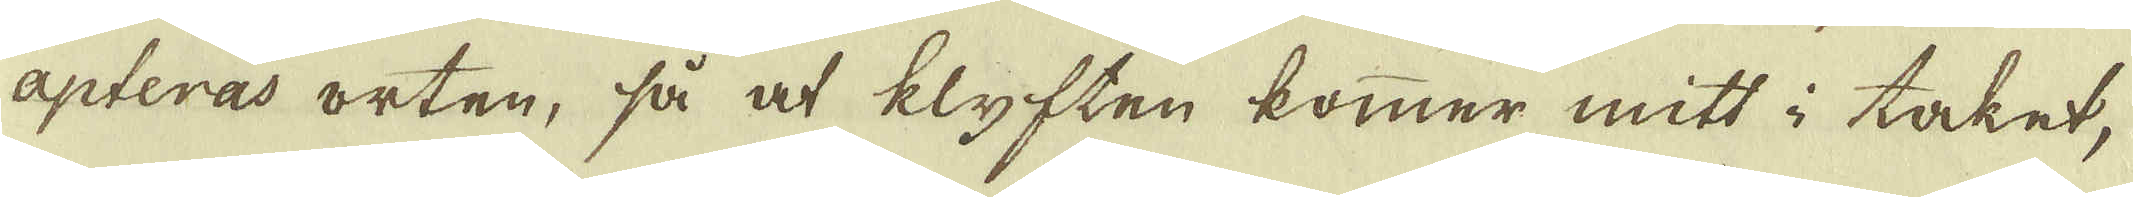apteras orten, så at klyften kommer mitt i taket,
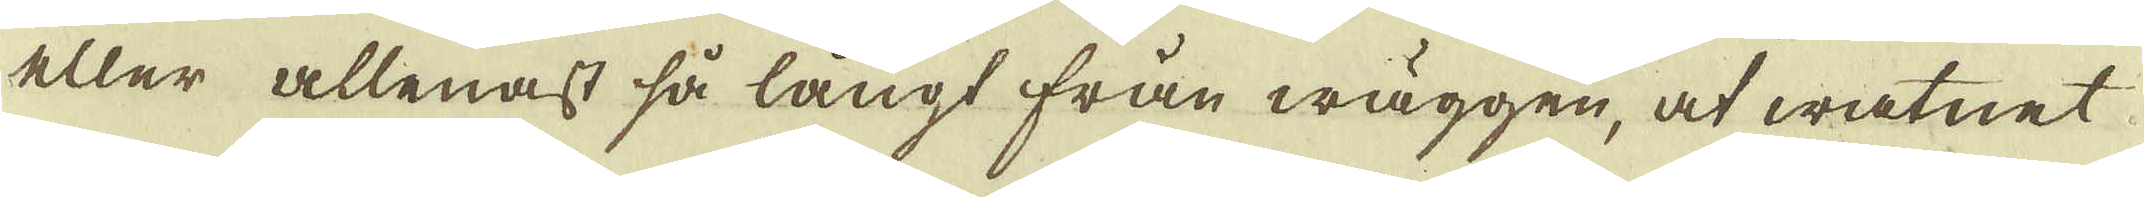eller allenast så långt från wäggen, at watnet
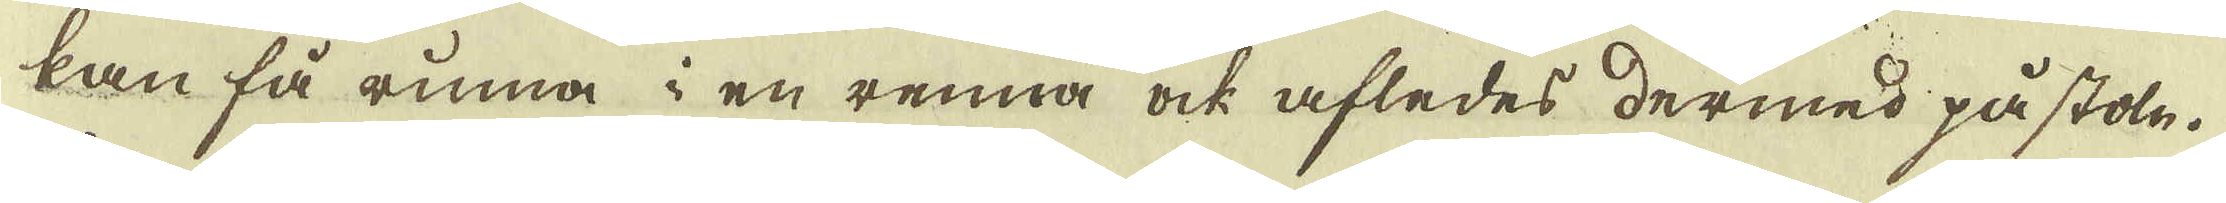kan få rinna i en renna ock afledes dermed på stoln.
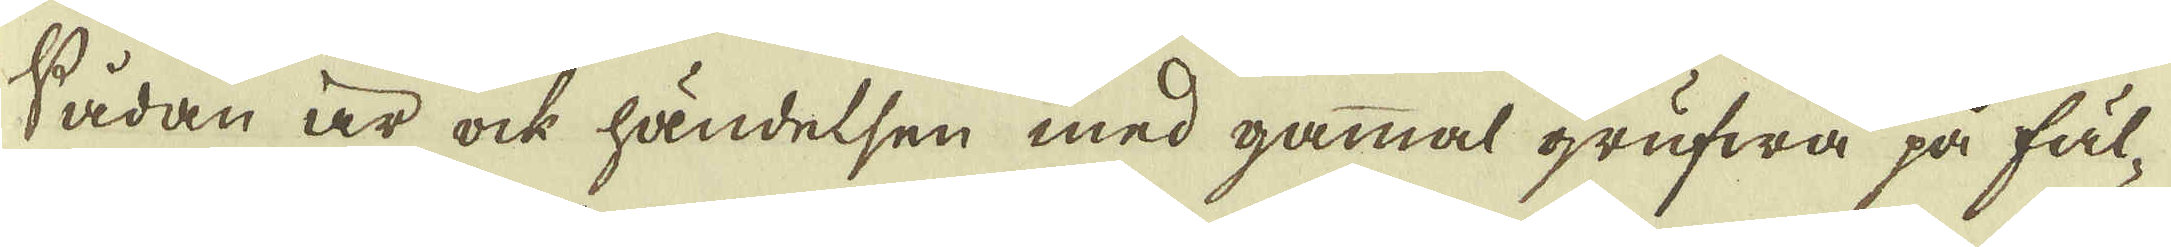Sådan är ock händelsen med gammal grufwa på fäl-
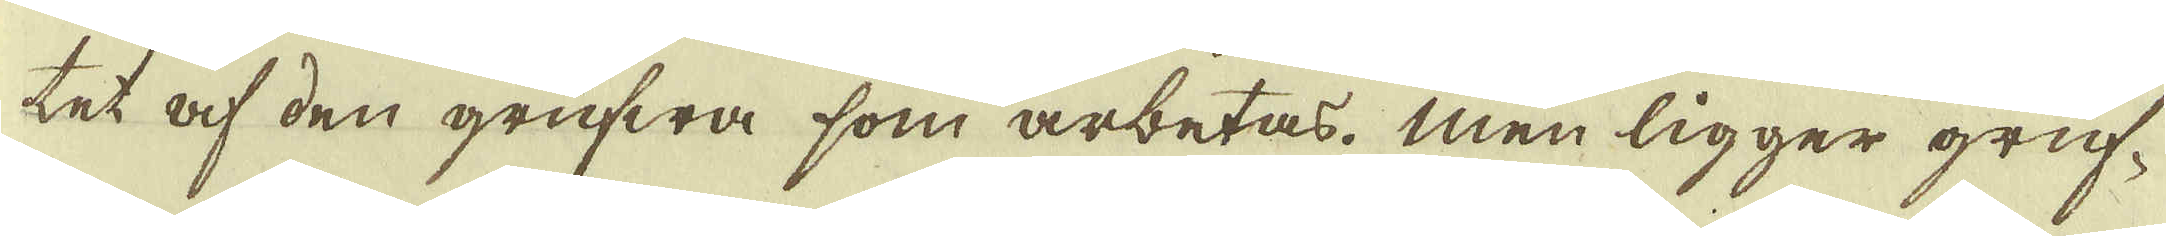tet af den grufwa som arbetas. Men ligger gruf-
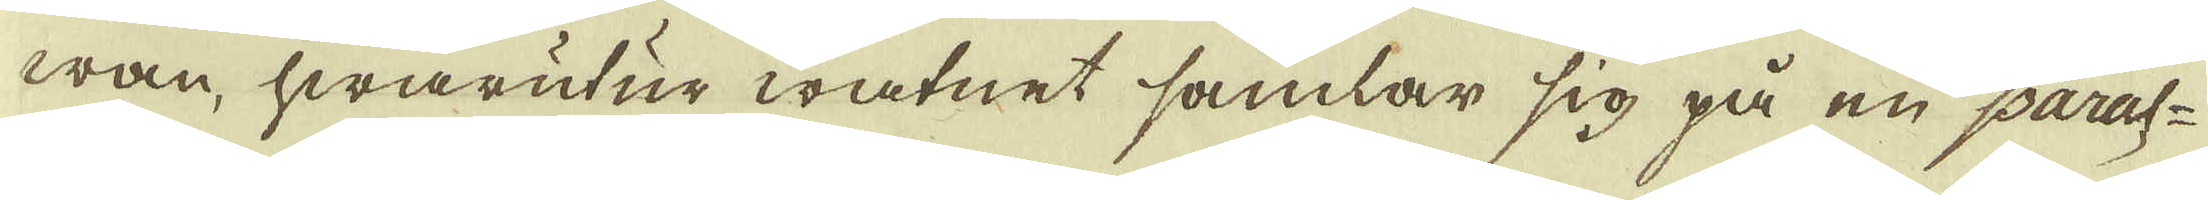wan, hwarutur watnet samlar sig på en paral-
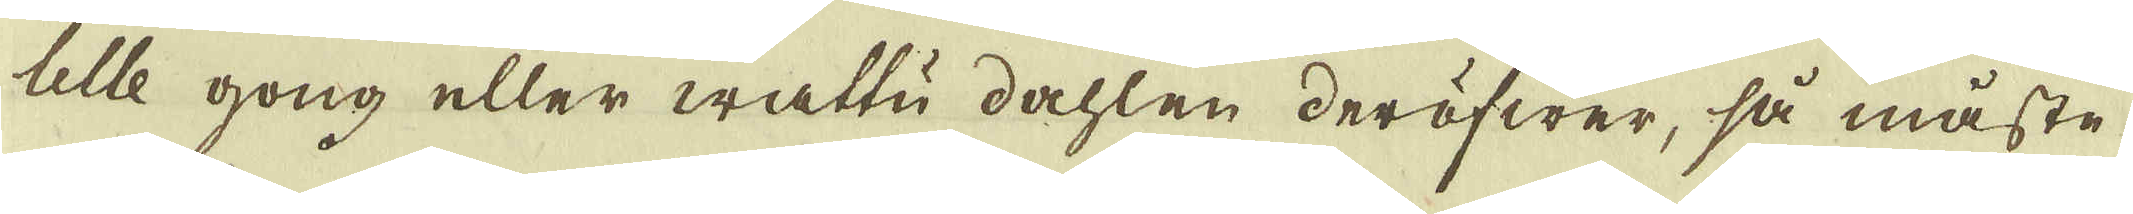lelle gong eller wattu dahlen deröfwer, så måste
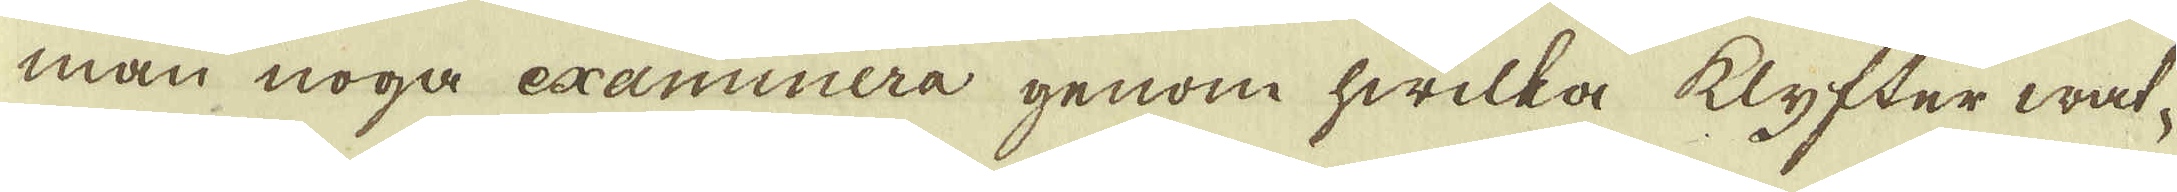man noga examinera genom hwilka klyfter wat-
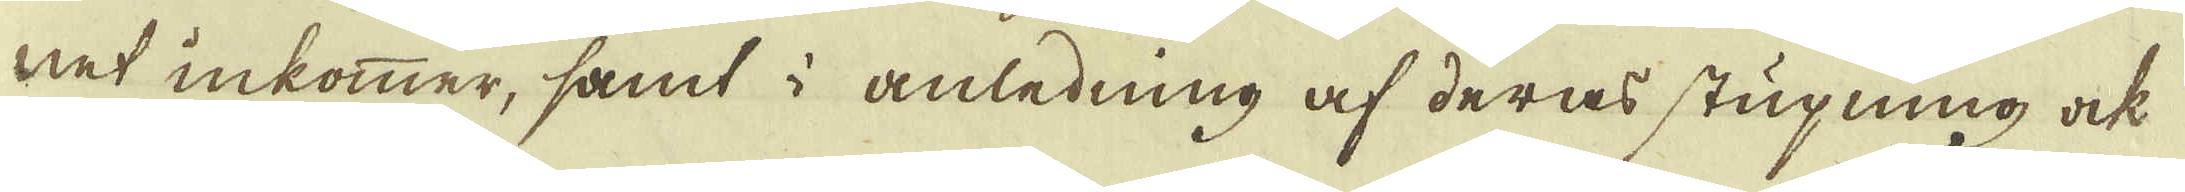net inkommer, samt i anledning af deras stupning ock
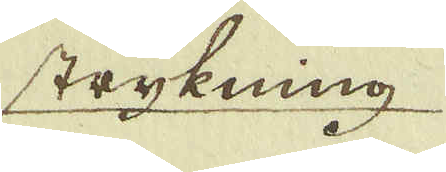strykning
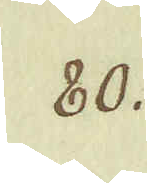80.
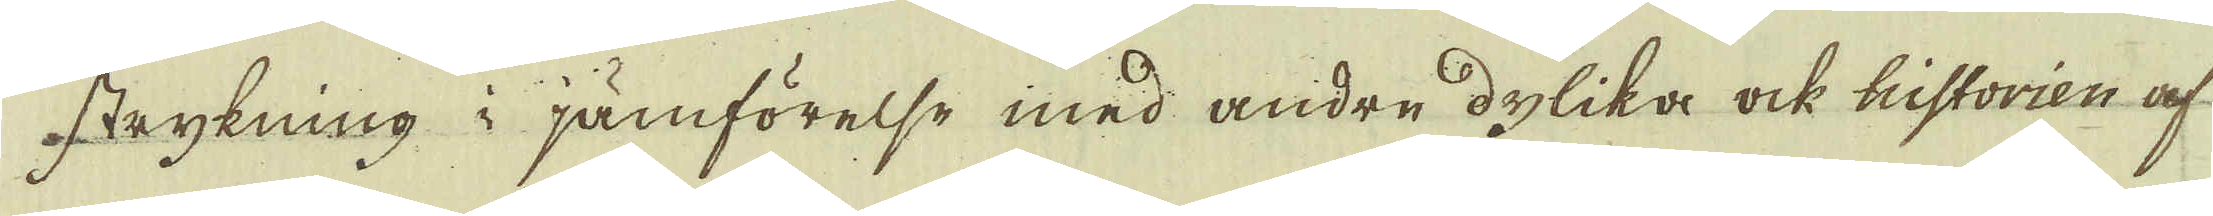strykning i jämförelse med andre dylika ock historien af
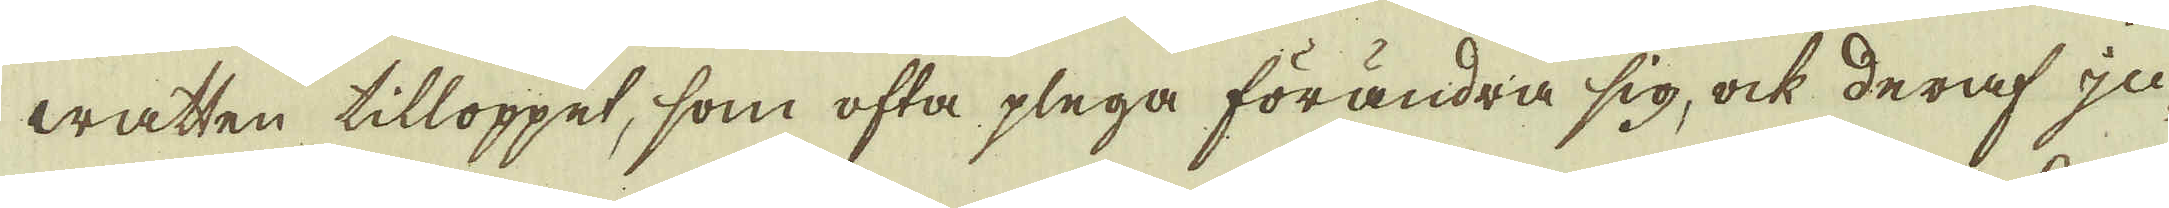watten tilloppet, som ofta plega förändra sig, ock deraf ju-
